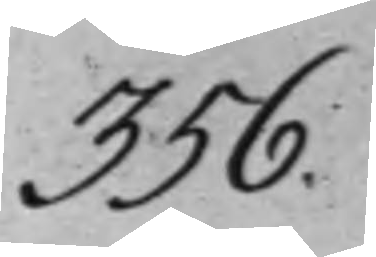356.
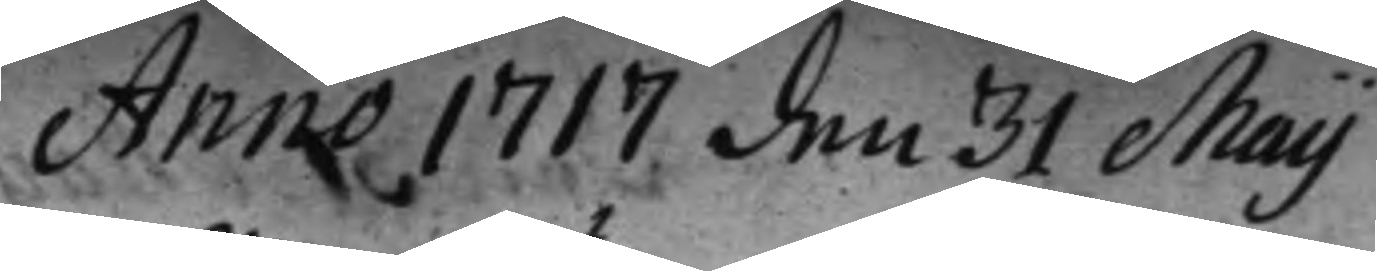Anno 1717 den 31 Maij
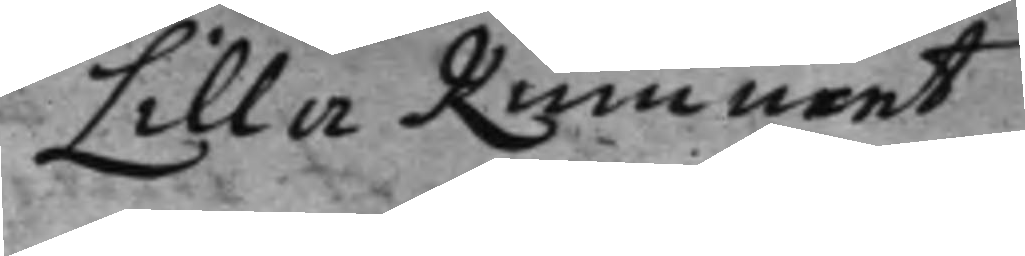Lilla Rummet
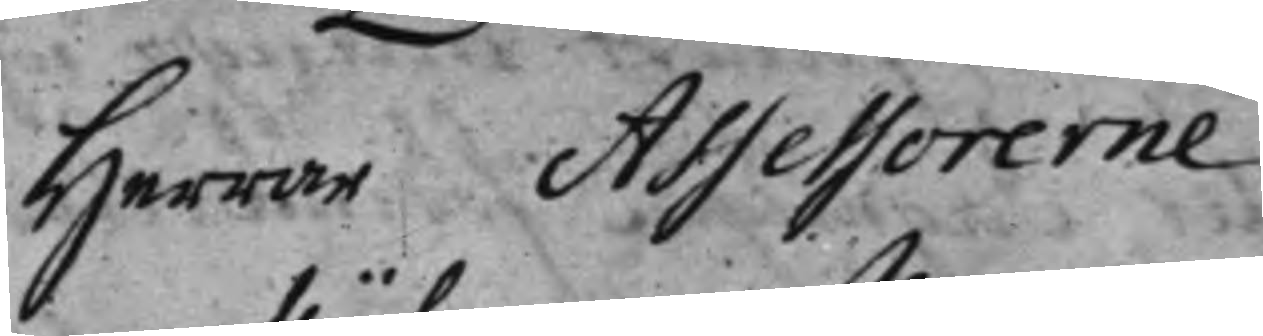Herrar Assessorerne
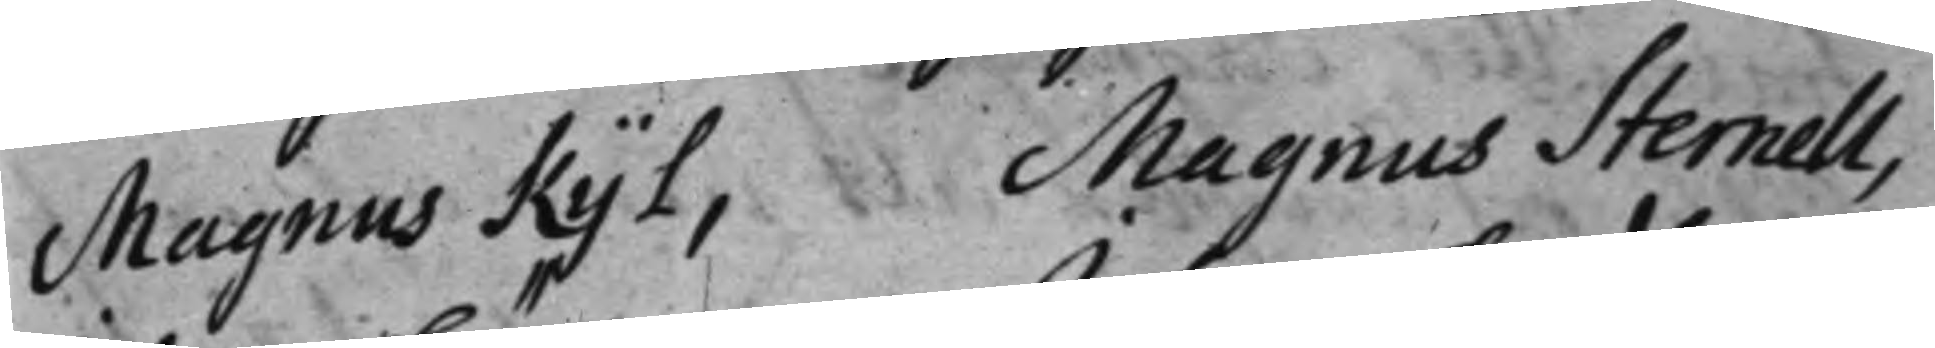Magnus Kijl, Magnus Sternell,
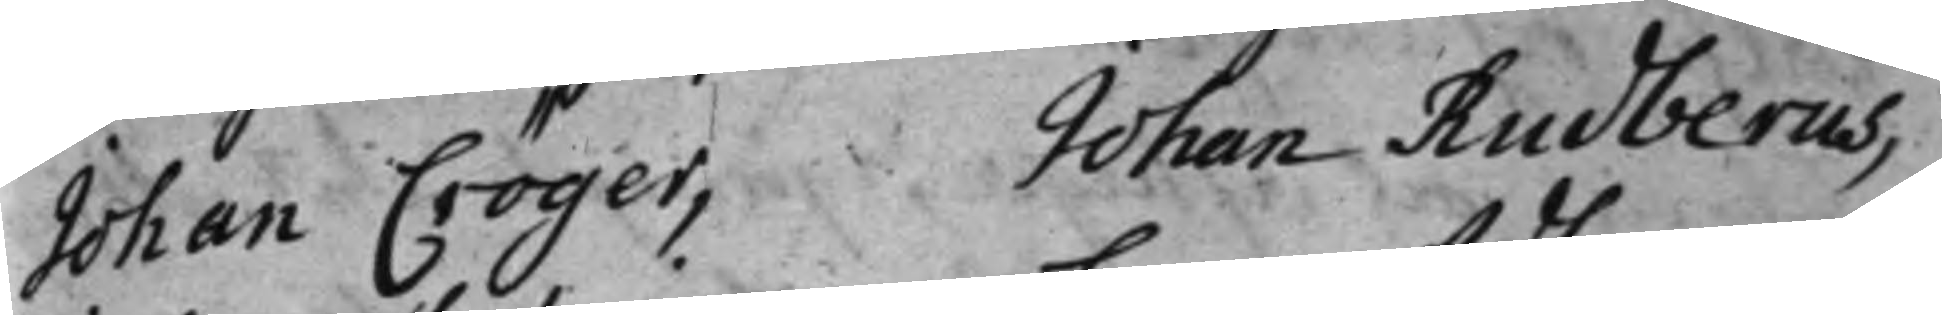Johan Cröger, Johan Rudberus,
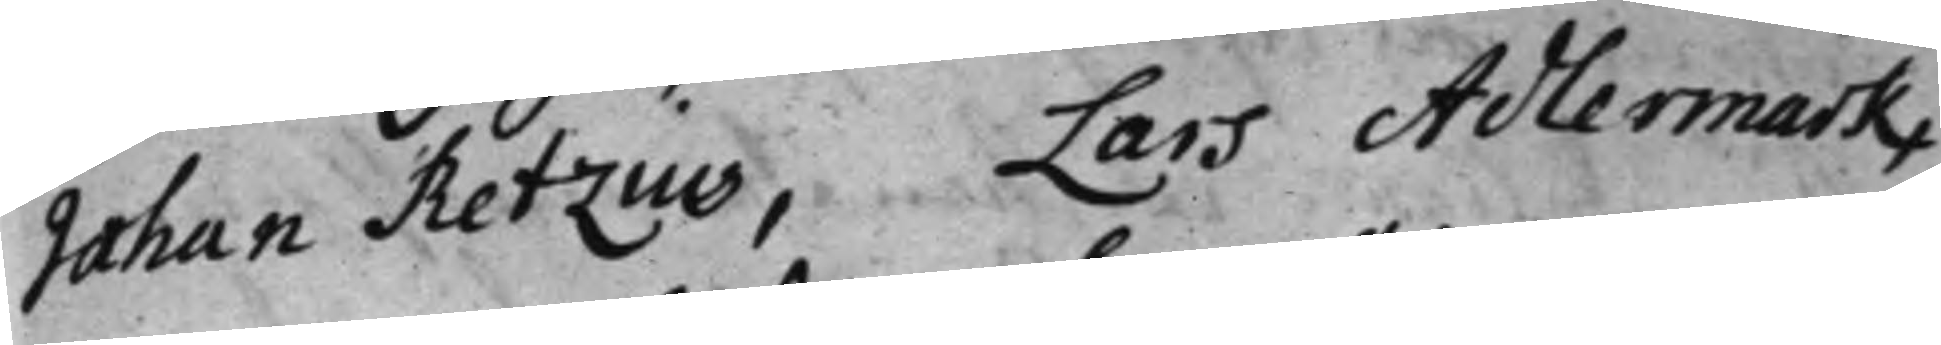Johan Retzius, Lars Adlermark,
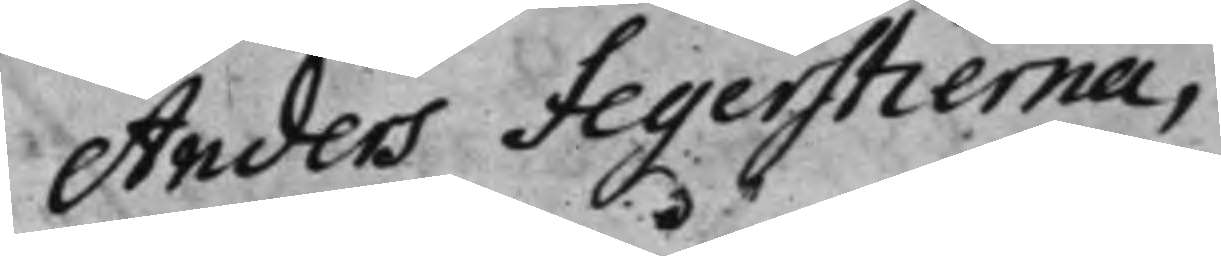Anders Fegerstierna,
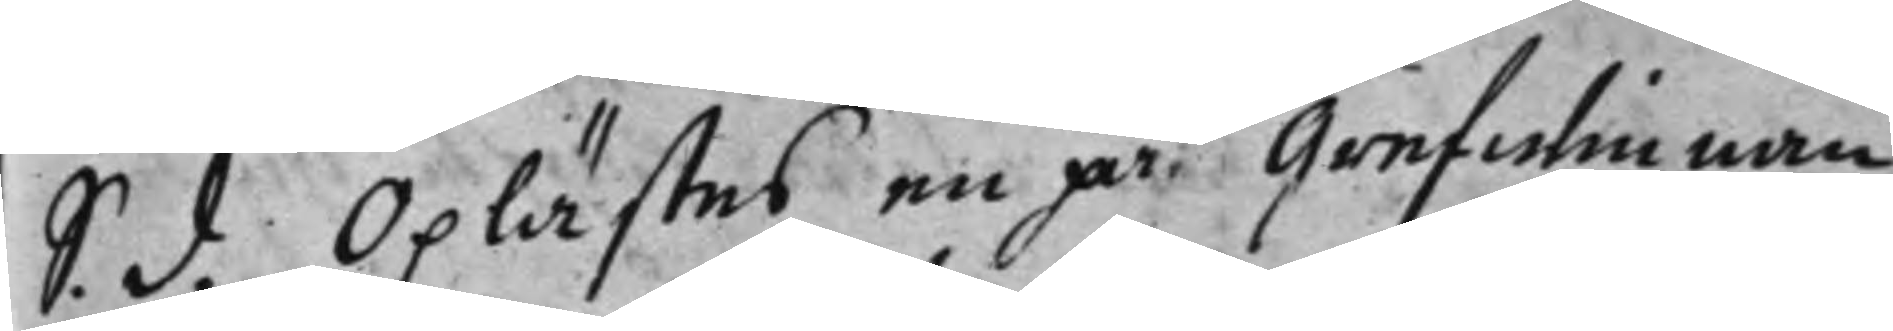S. d. Oplästes en på Grefwinnan 
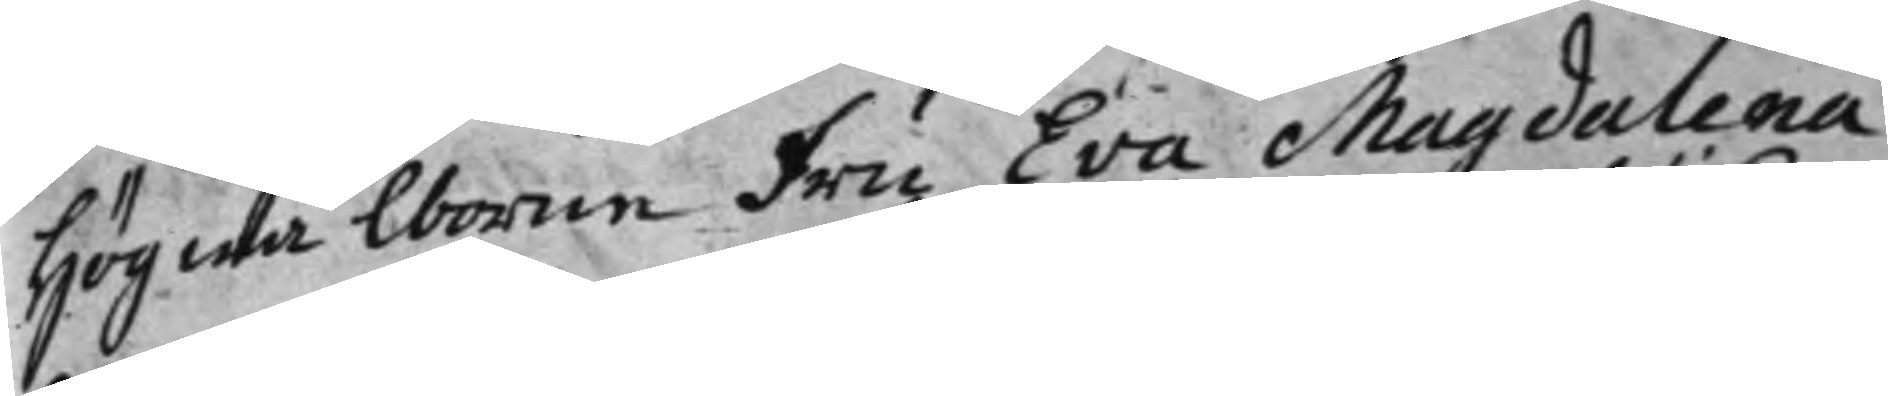Högwälborne fru Eva Magdalena
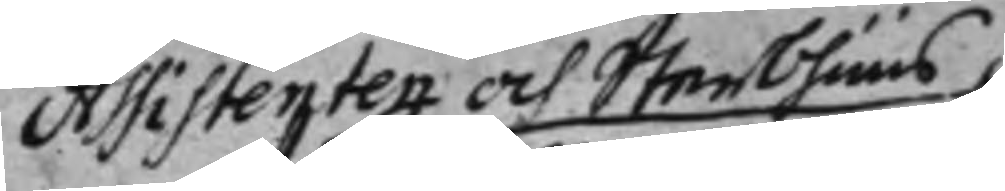Assistenten och Sterbhuus¬
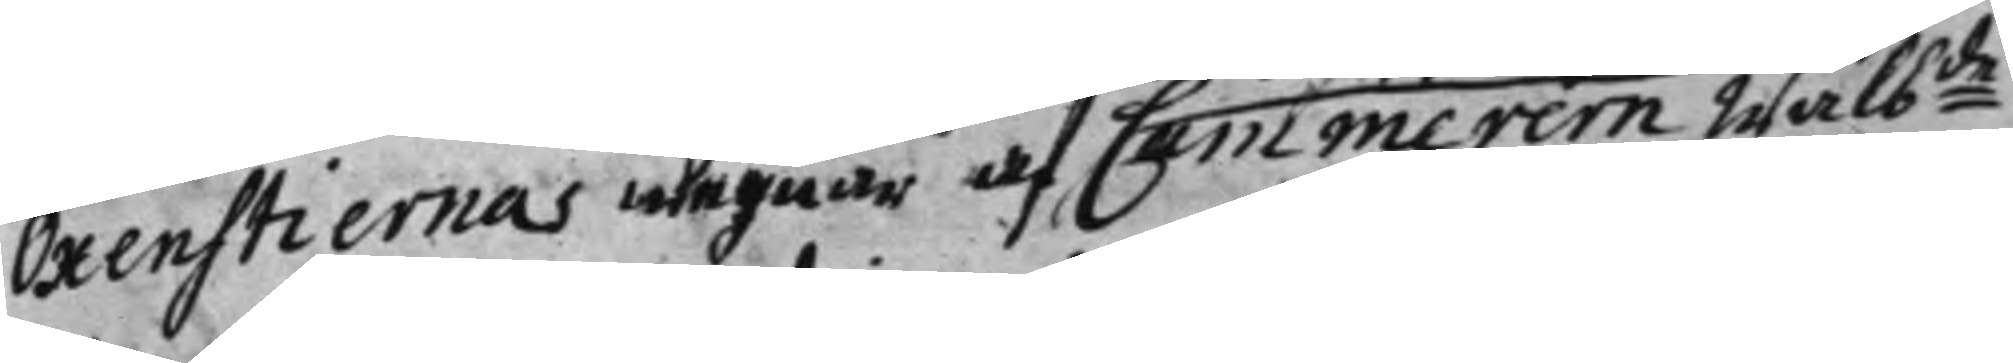Oxenstiernas wegnar af Cammerern Wälb:de 
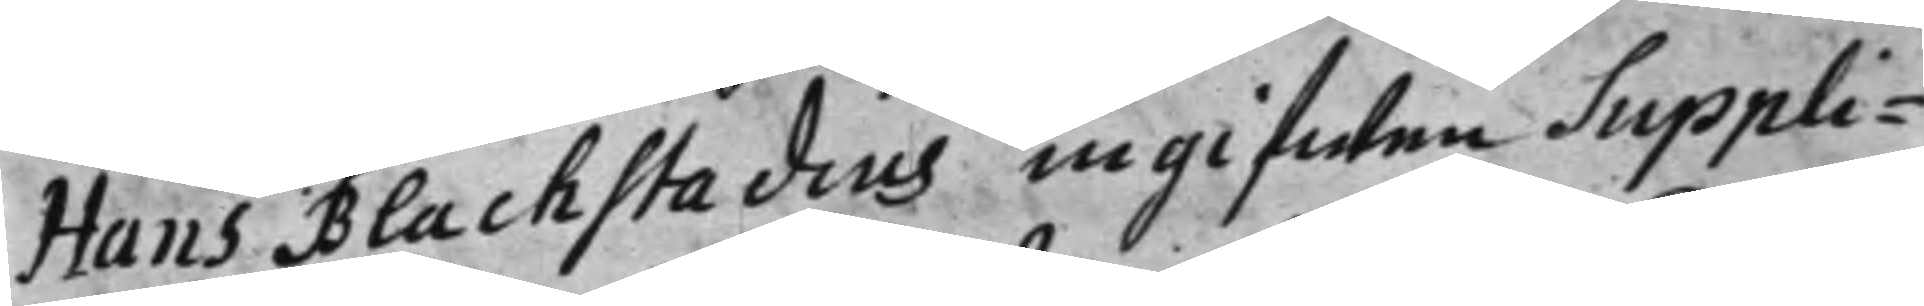Hans Blackstadius ingifwen Suppli¬
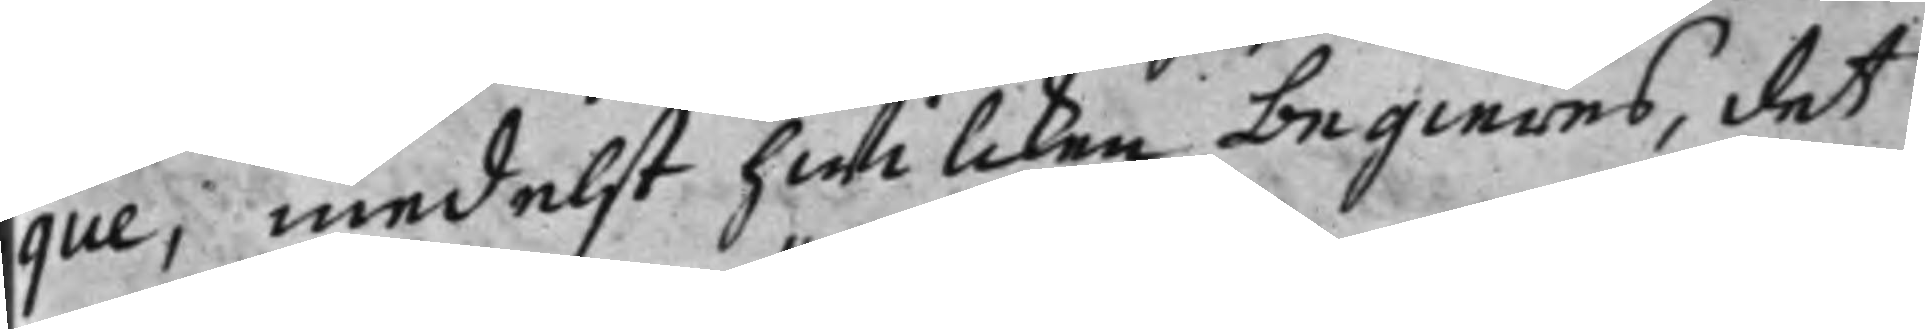que; medelst hwilcken begieres, det
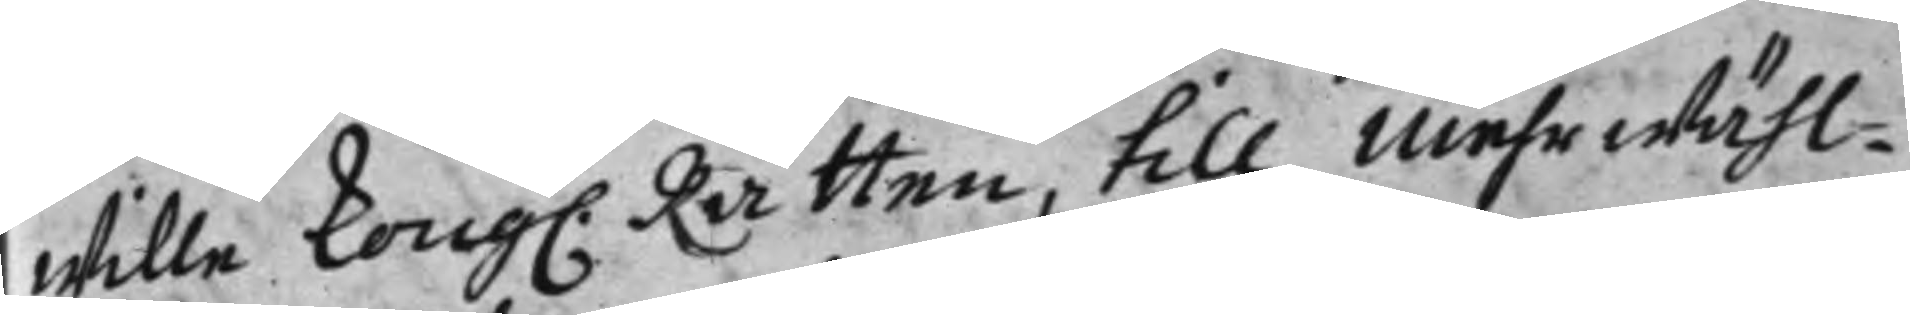wille Kong. Rätten, till mehrwähl¬ 
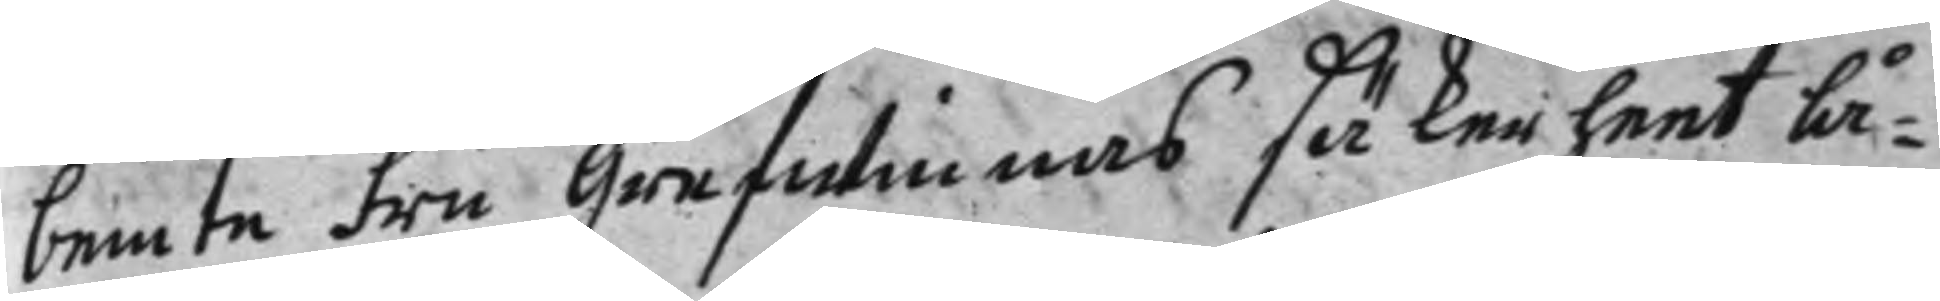bemte fru Grefwinnas säkerheet lå¬ 
